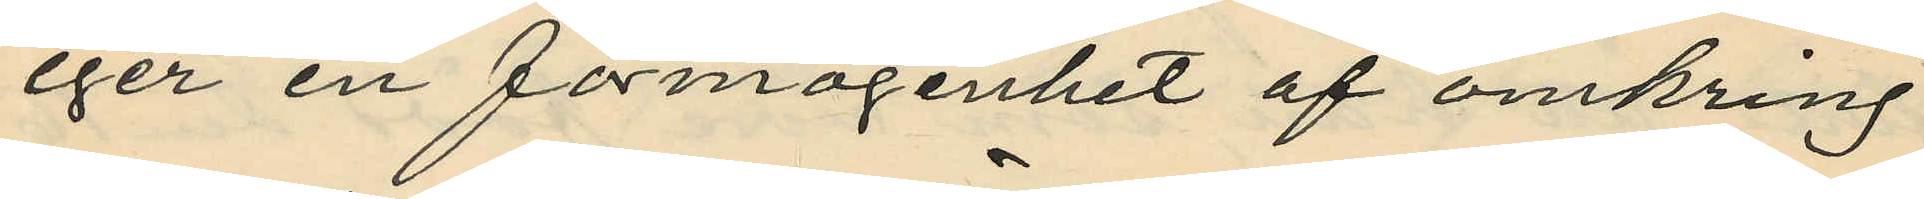eger en förmögenhet af omkring
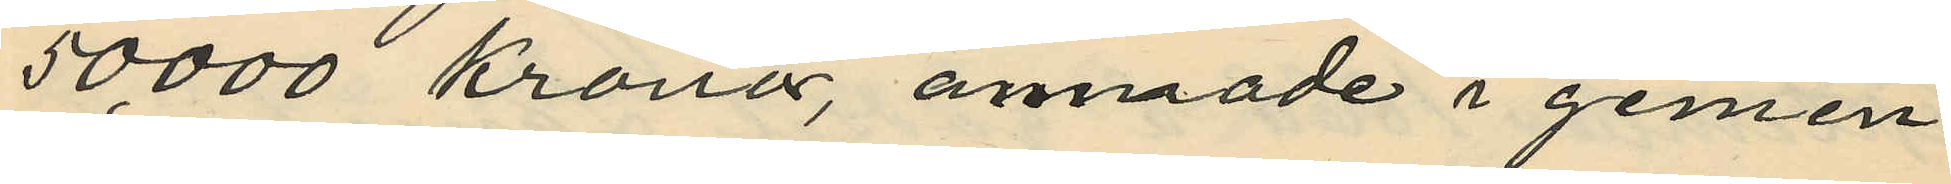50,000 kronor, ämnade i gemen¬
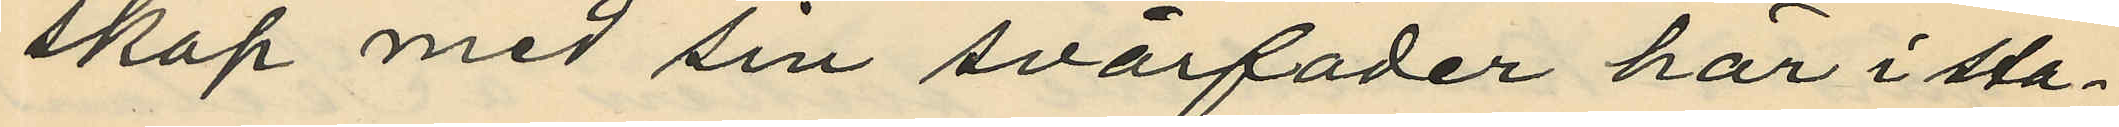skap med sin svärfader här i sta¬
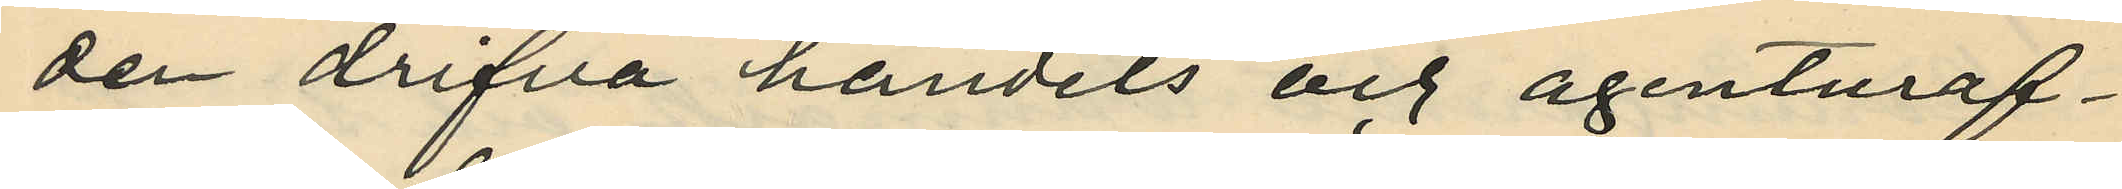den drifva handels och agenturäf¬
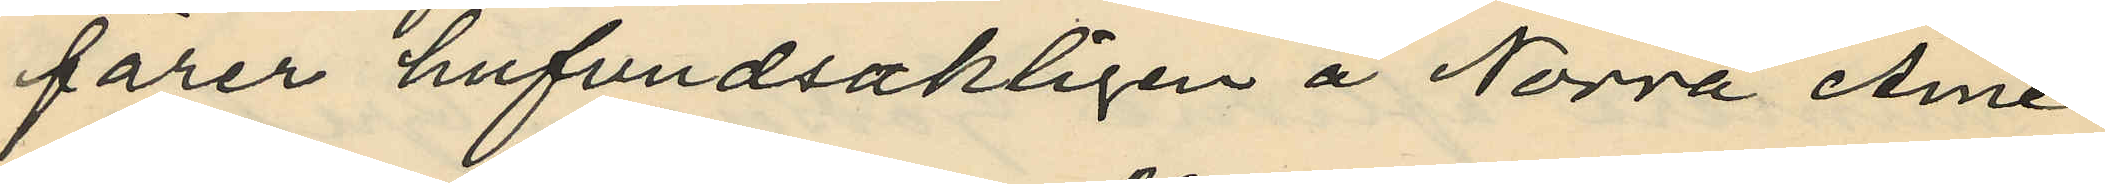färer hufvudsakligen å Norra Ame¬
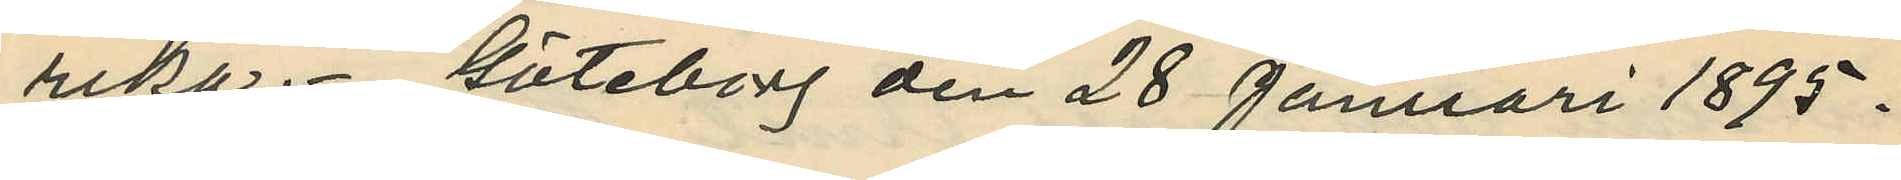rika. Göteborg den 28 Januari 1895.
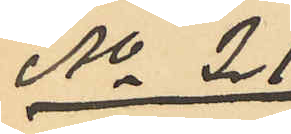No 21
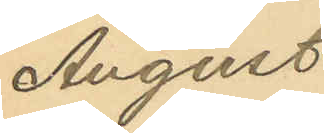August
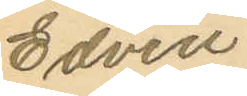Edvin
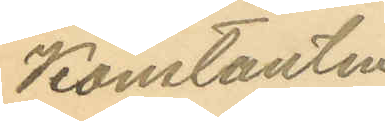Konstantin
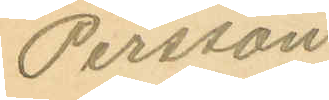Persson
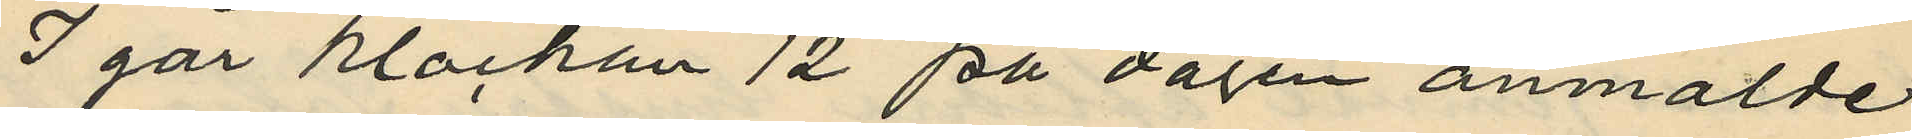I går klockan 12 på dagen anmälde
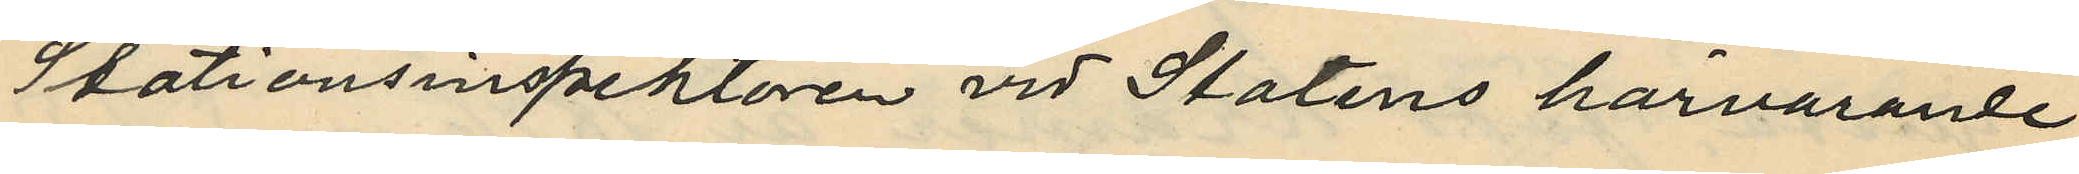Stationsinspektoren vid Statens härvarande
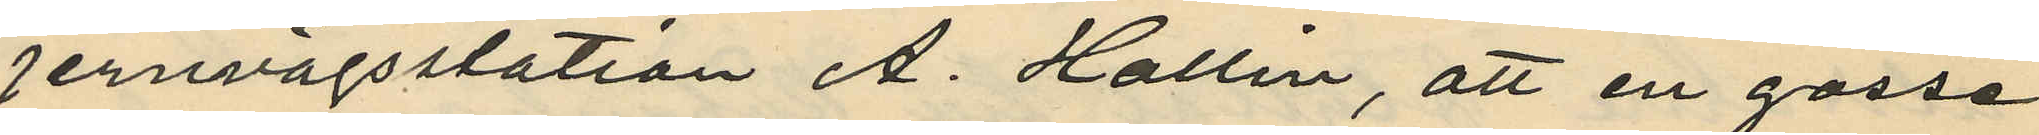jernvägsstation A. Hallin, att en gosse
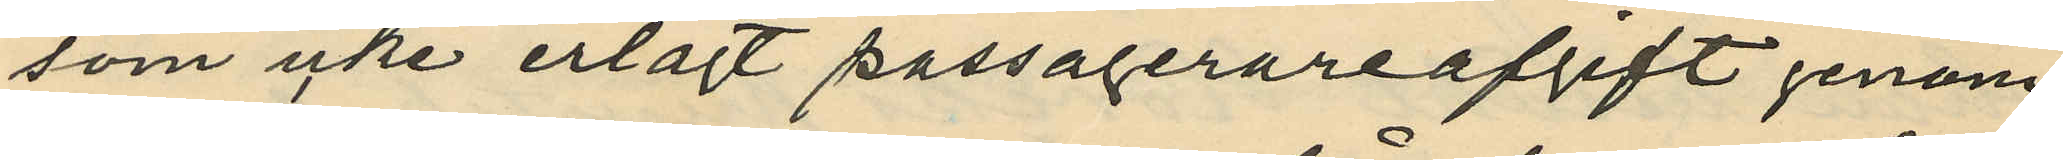som icke erlagt passagerareafgift genom
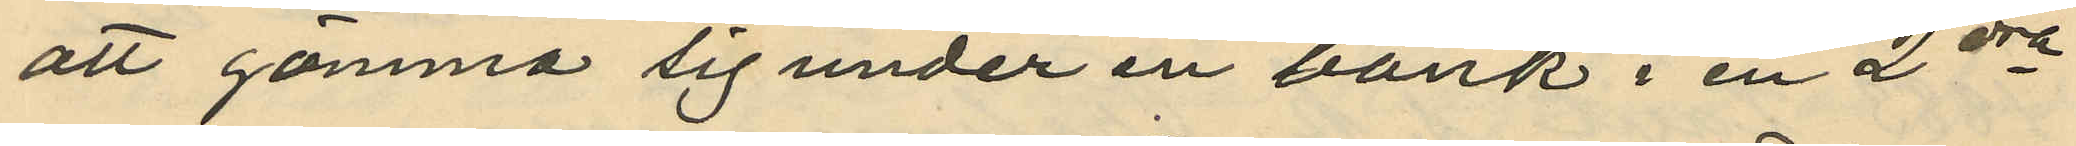att gömma sig under en bänk i en 2dra
